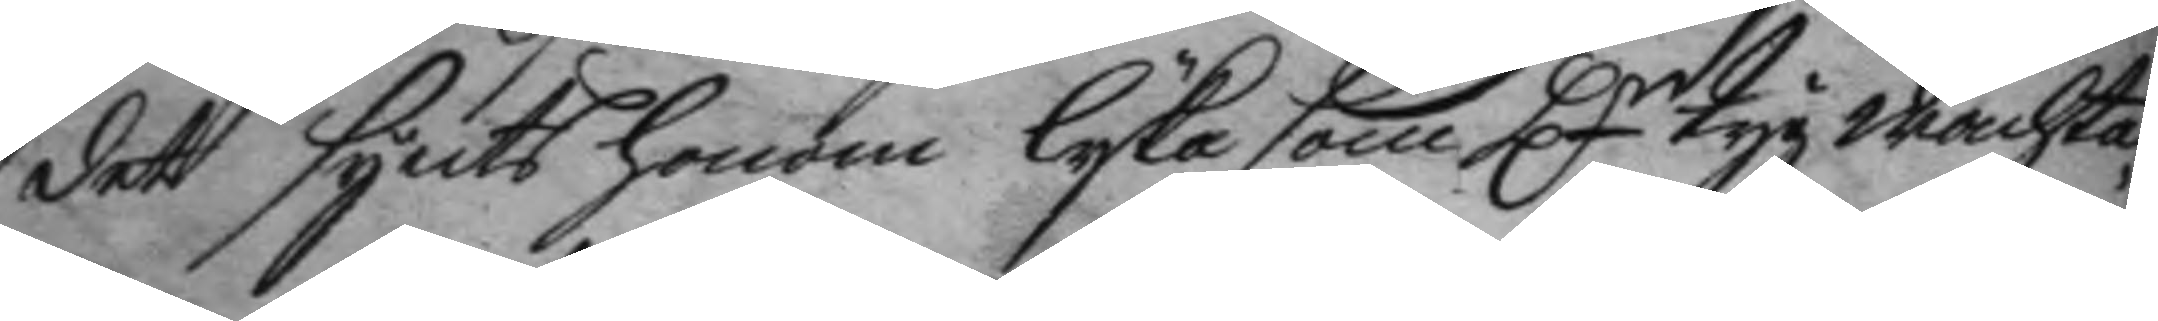det synts honom lyka som Hr tygwachta¬
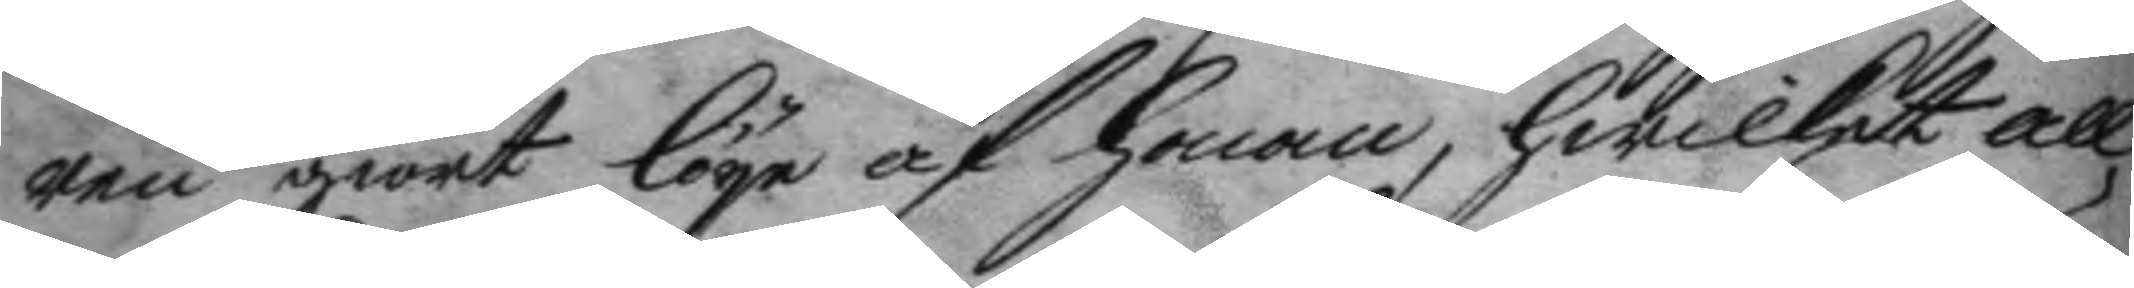ren giort löye af honom, hwilket all¬
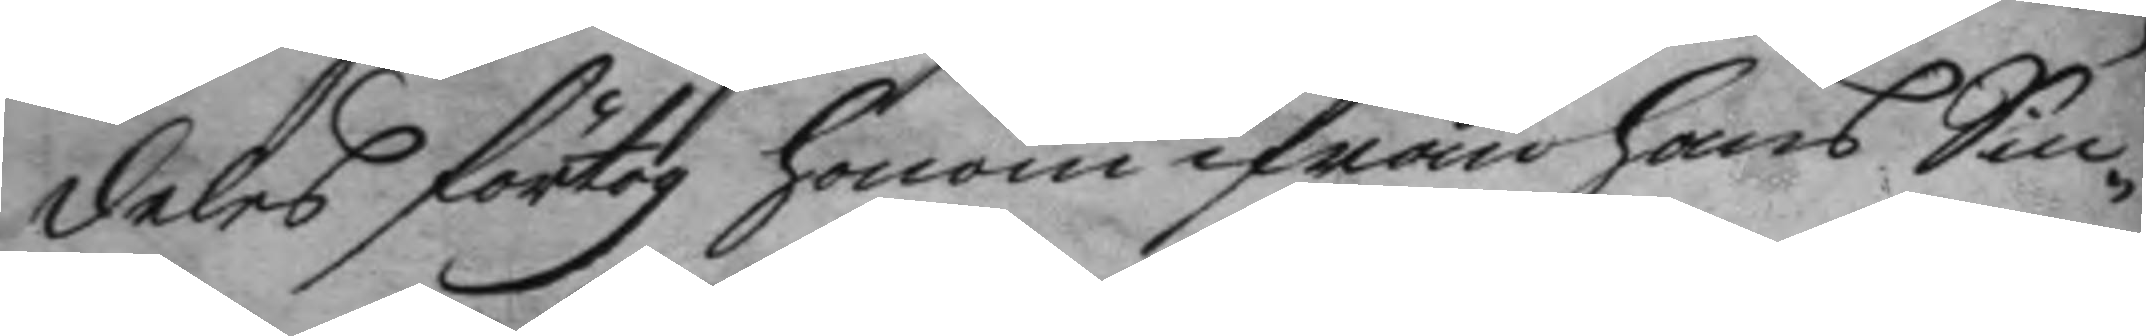deles förtog honom ifrån hans Sin¬
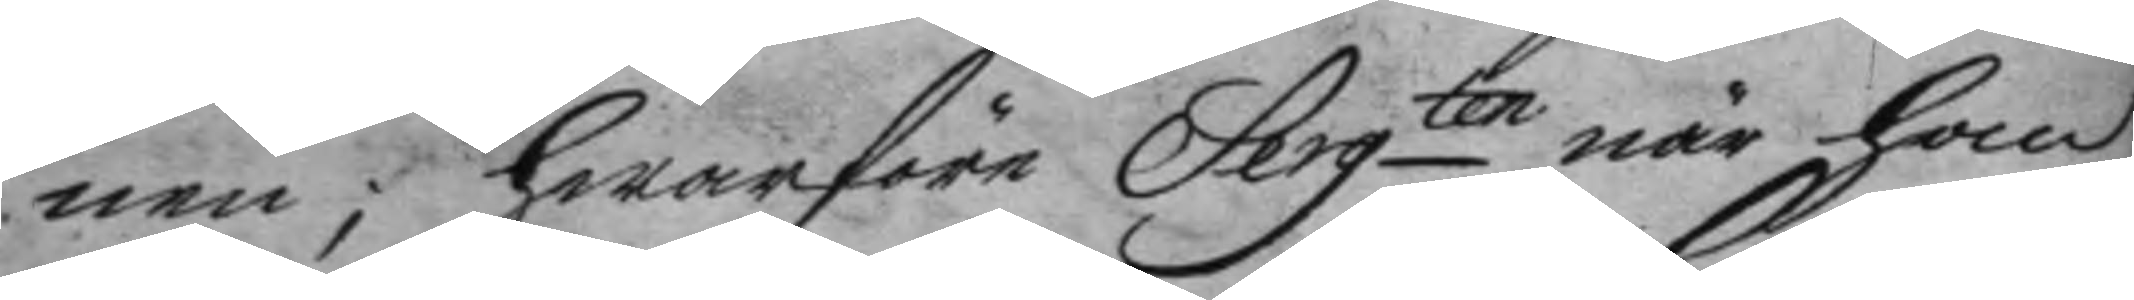nen; hwarföre Sergten när han
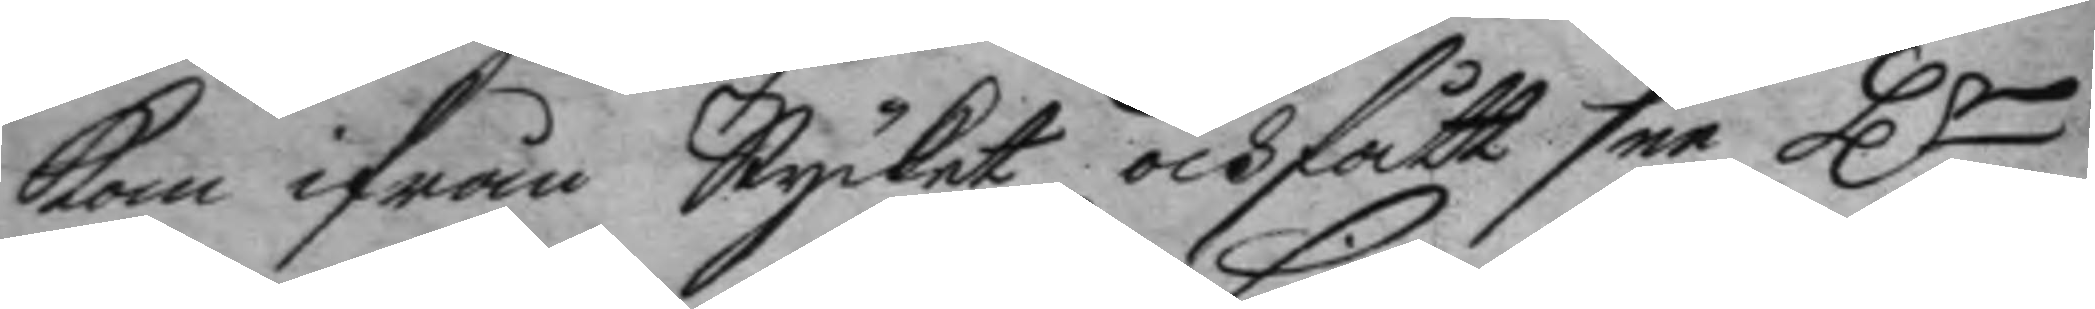kom ifrån Stycket och fått see Hr
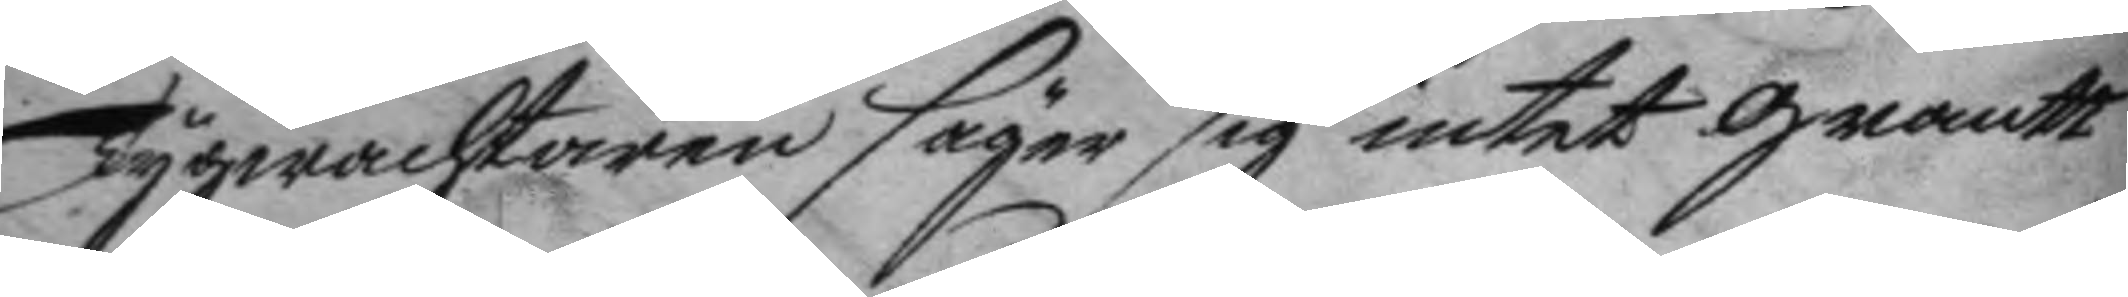Tygwachtaren säger sig intet grantt
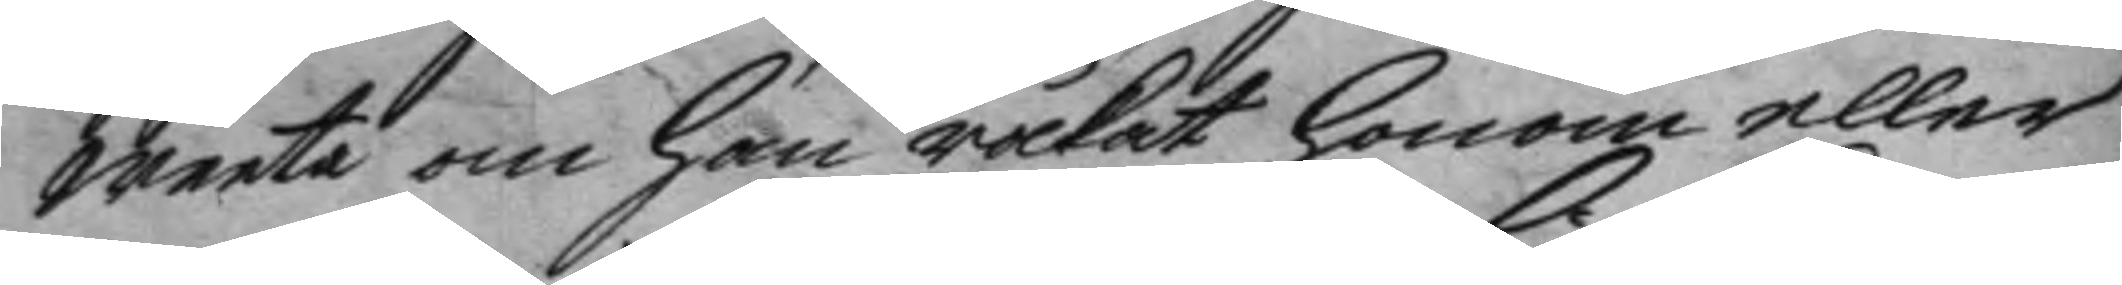weeta om han råkat honom eller
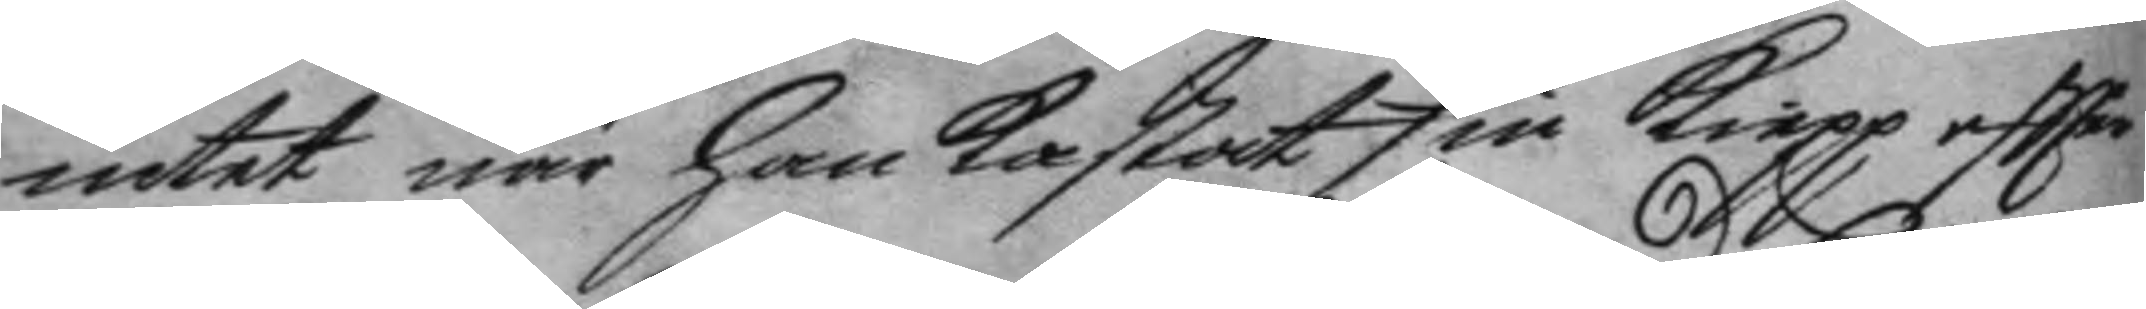intet när han kastat sin kiepp eftter
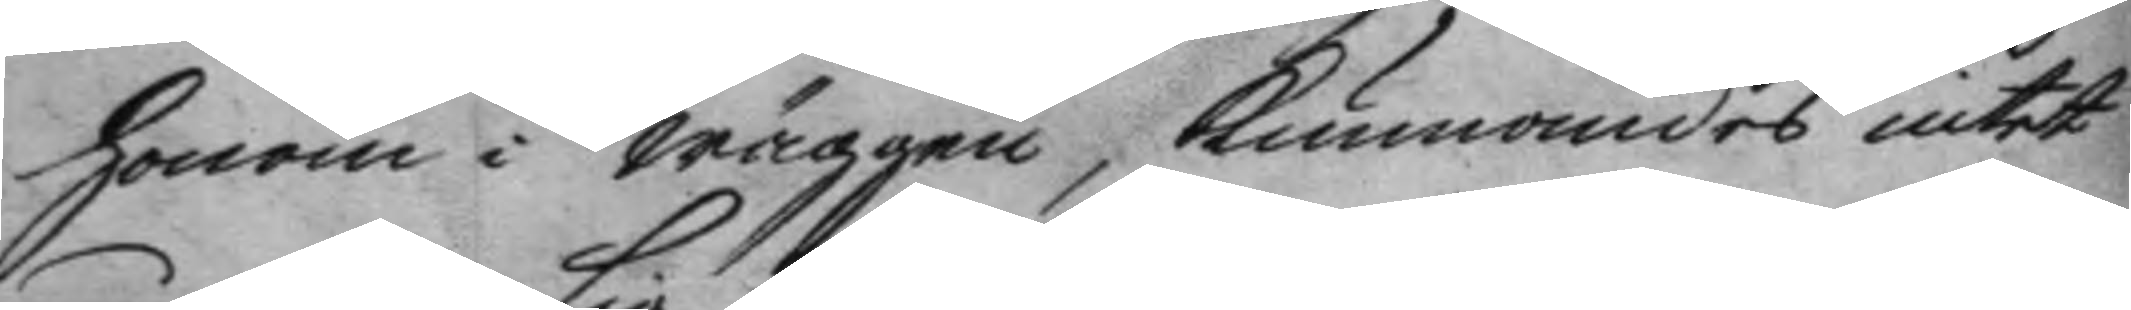honom i wäggen, kunnandes intet
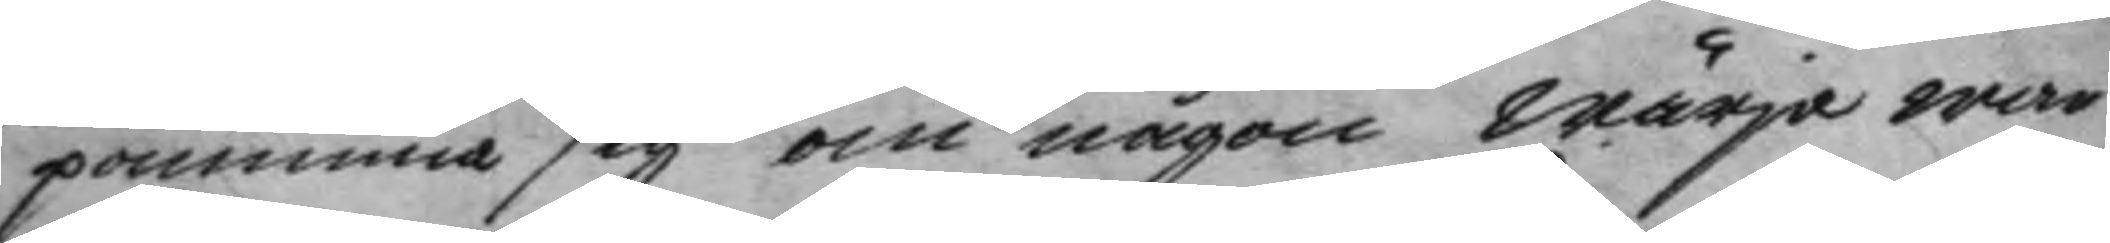påminna sig om någon wärja war
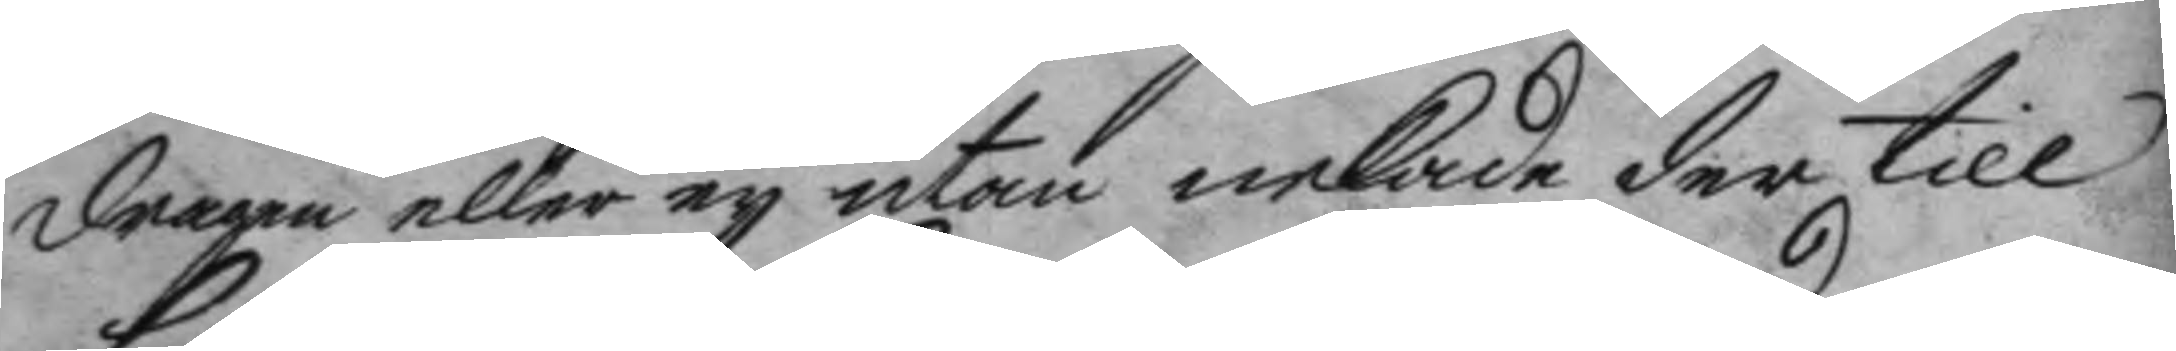dragen eller ey utan nekade der till
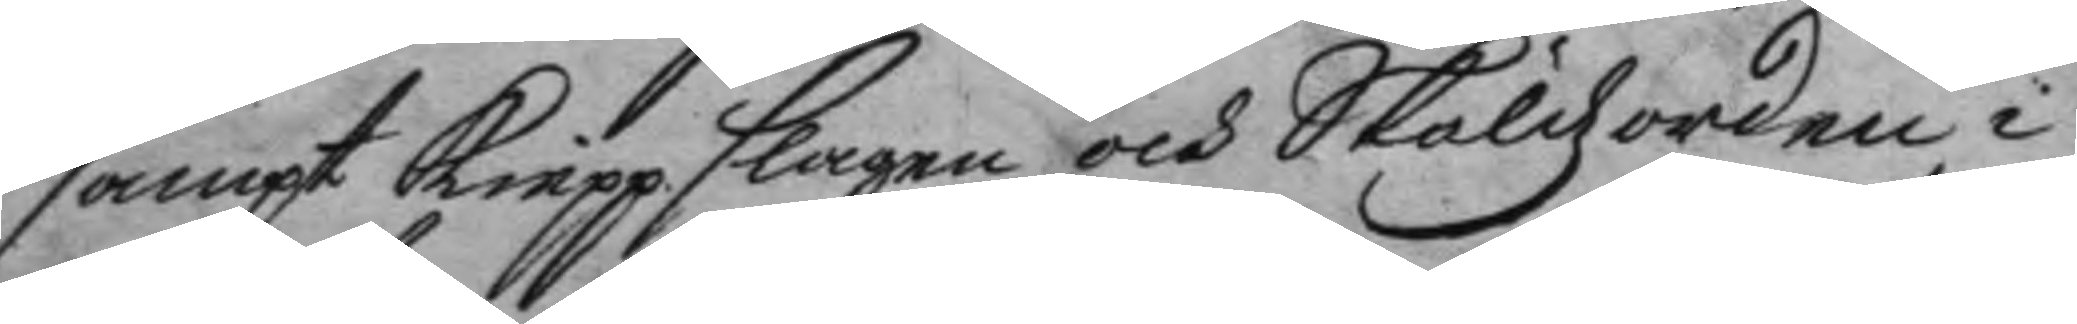samt kieppslagen och Skädzorden i
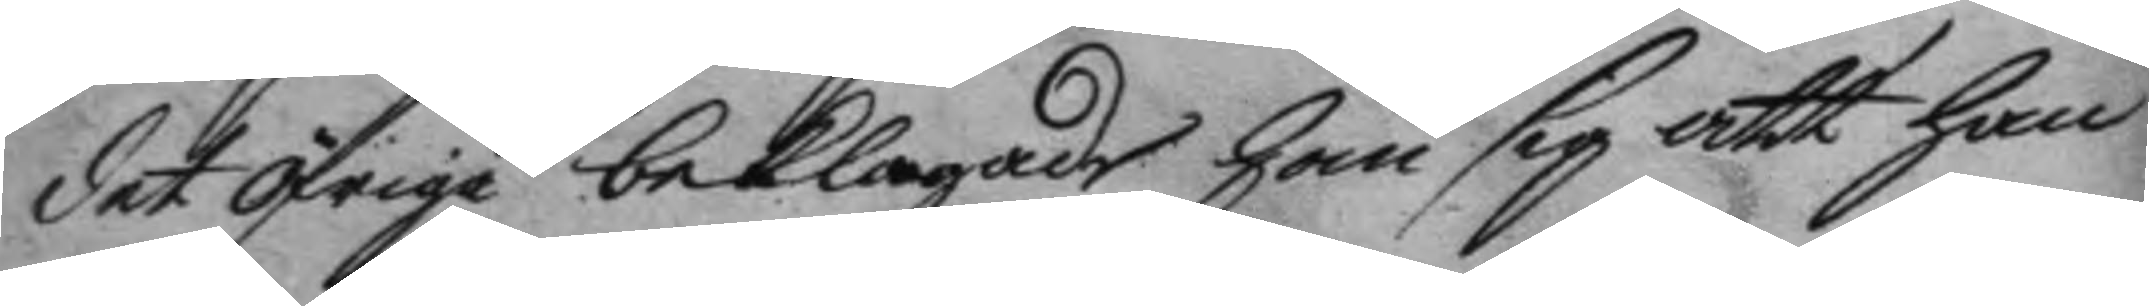det öfrige beklagade han sig att han
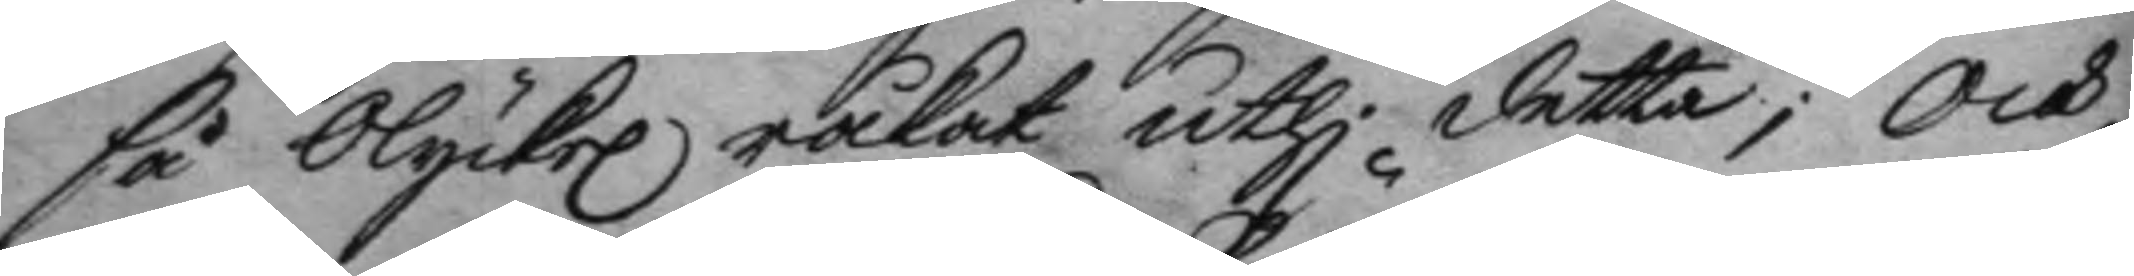så olycke råkat uthi detta; och
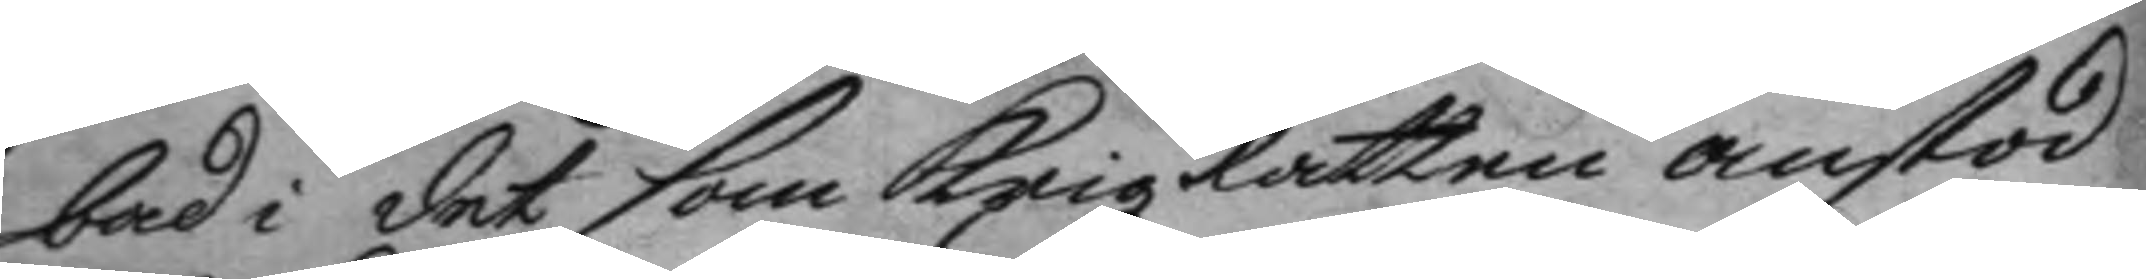bad i det som Krigz Rätten anstod
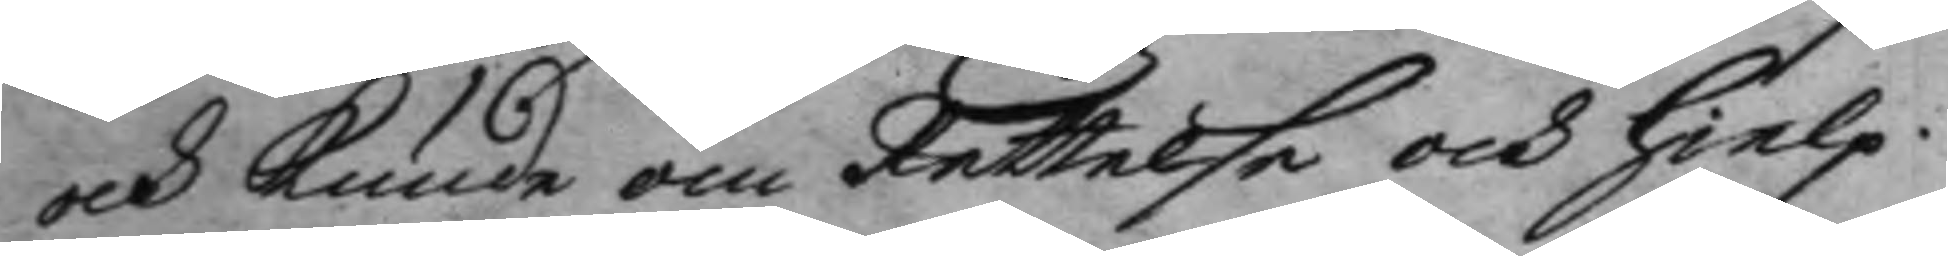och kunde oom Rettelse och hielp.
